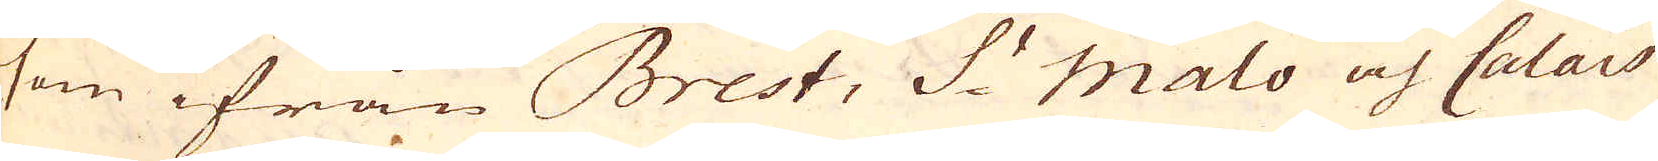som ifrån Brest, S:t Malo och Calais
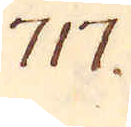717.
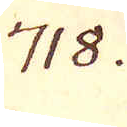718.
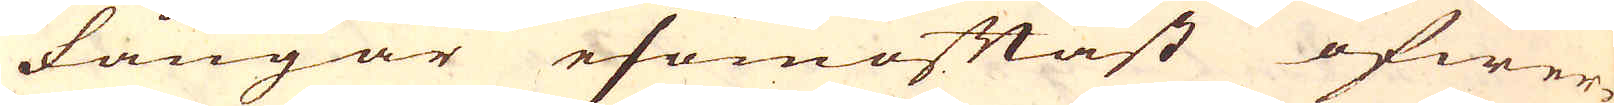fångar esomoftast öfwer-
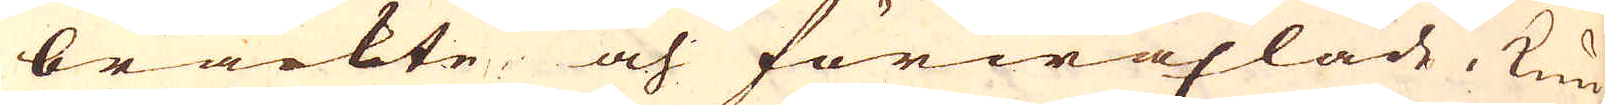brackte och förwäxlade, kun-
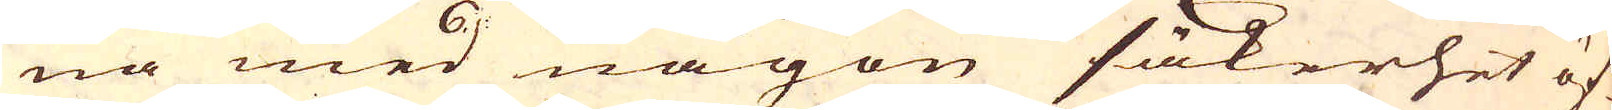na med någon säkerhet öf-
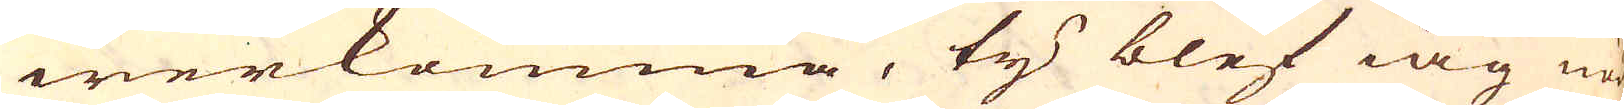werkomma, ty blef iag nöd-
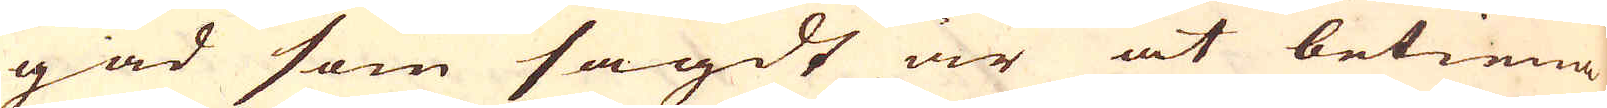gad som sagdt är at betiena
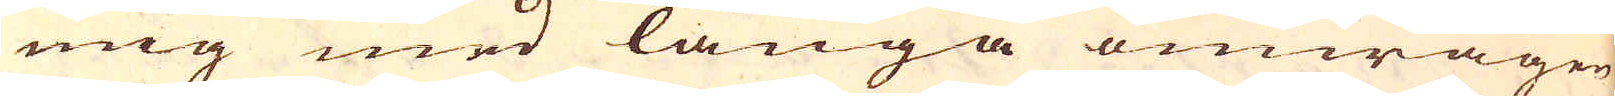mig med långa omwägen
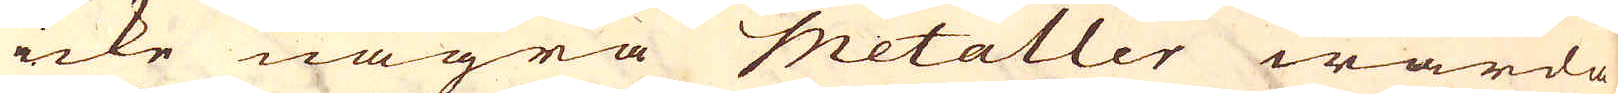icke några Metaller warda
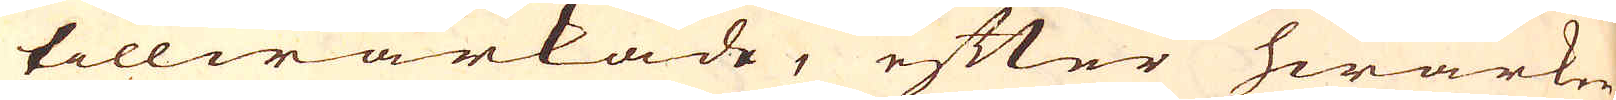tillwärkade, efter hwarken
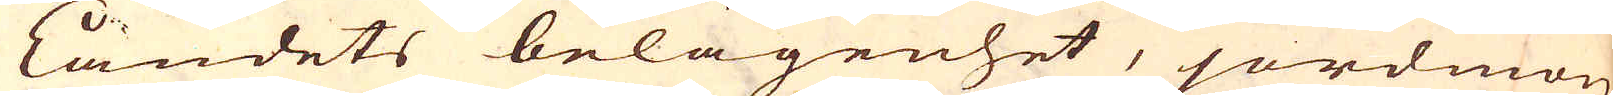Landets belägenhet, jordmon
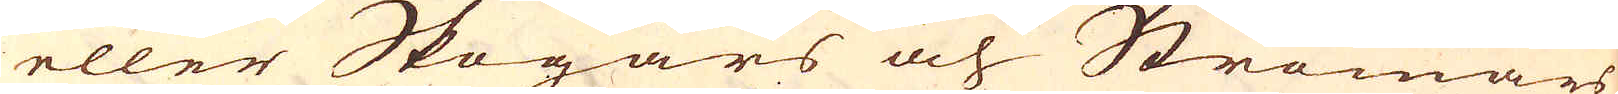eller Skogars och Strömars
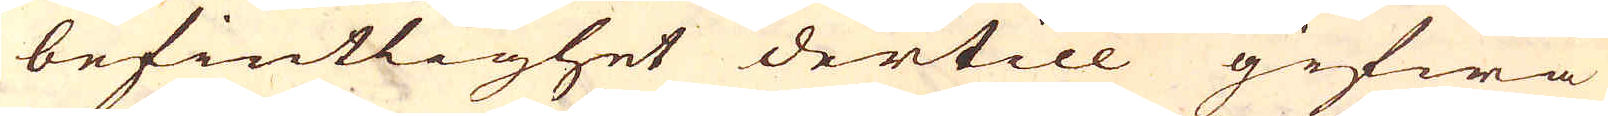befintlighet dertill gifwa
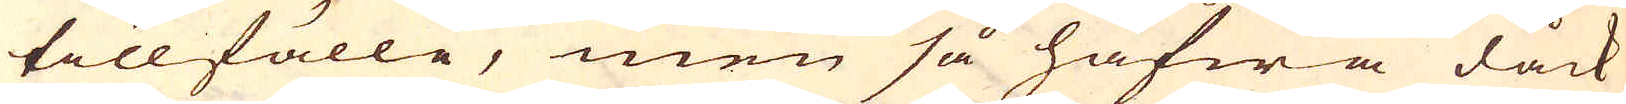tillfälle, men så hafwa dåck
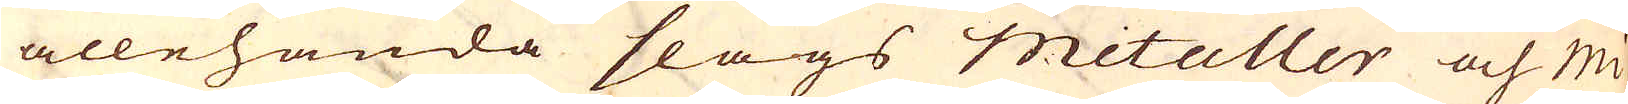allehanda slags metaller och Mi-
